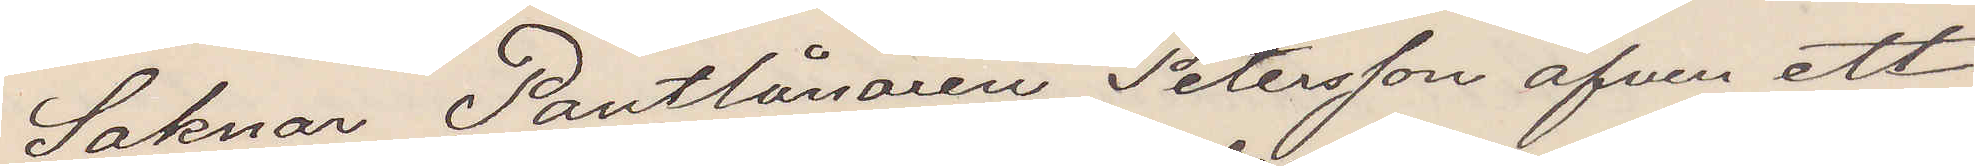Saknar Pantlånarne Petersson äfven ett
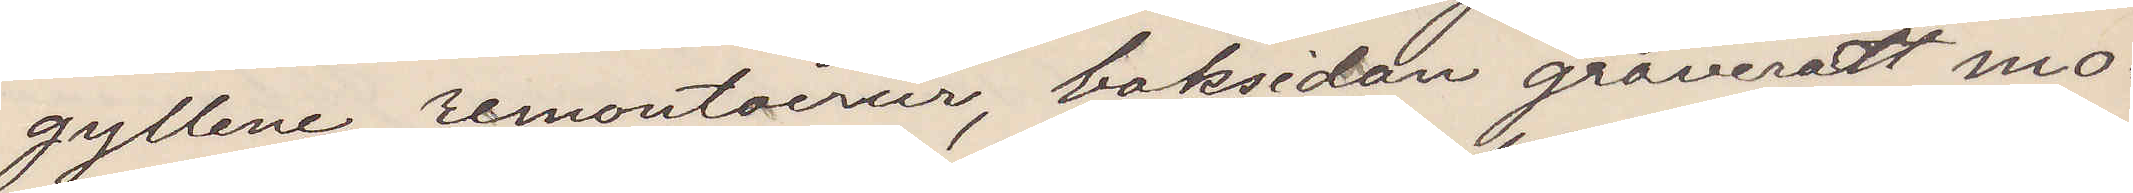gyllene remontairur, baksidan graveredt mo¬
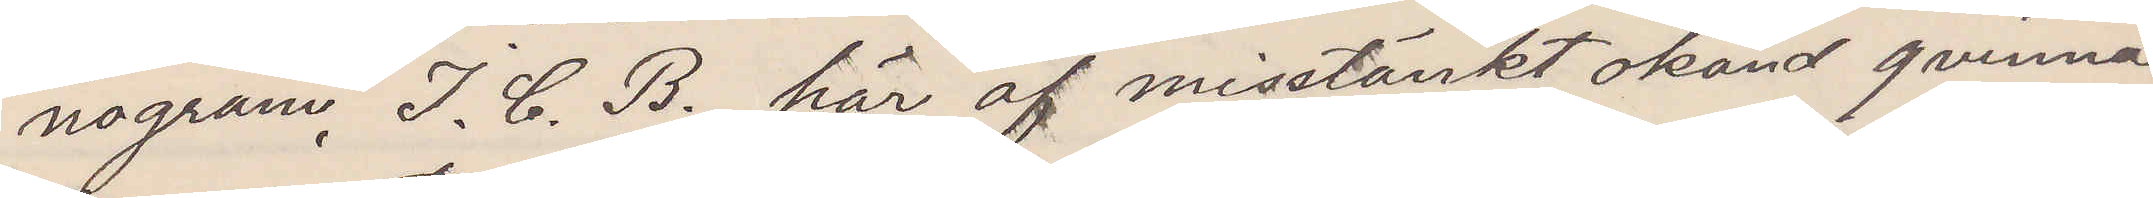nogram I. C. B. här af misstänkt okänd qvinna
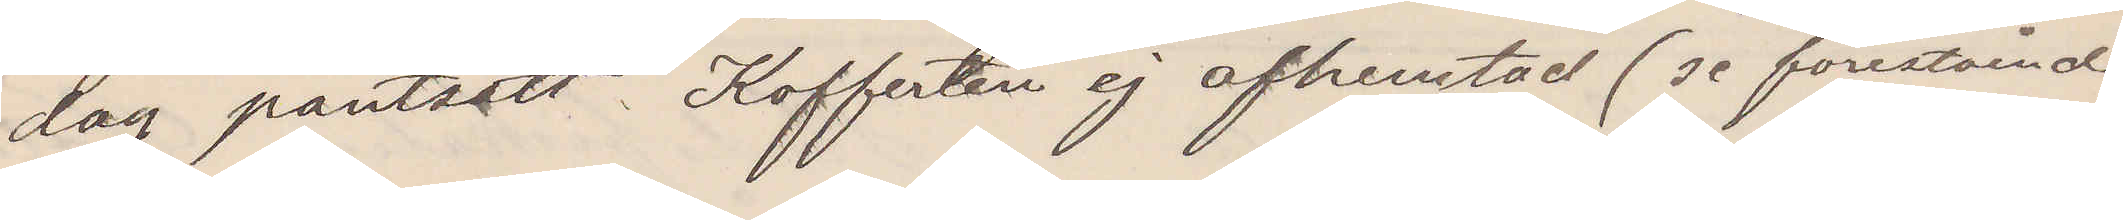dag pantsatt Kofferten ej afhemtad (se förestående
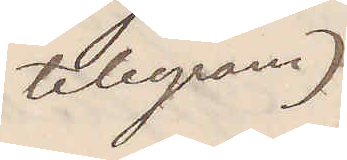telegram)
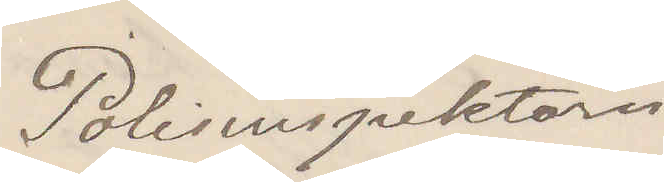Polisinspektorn
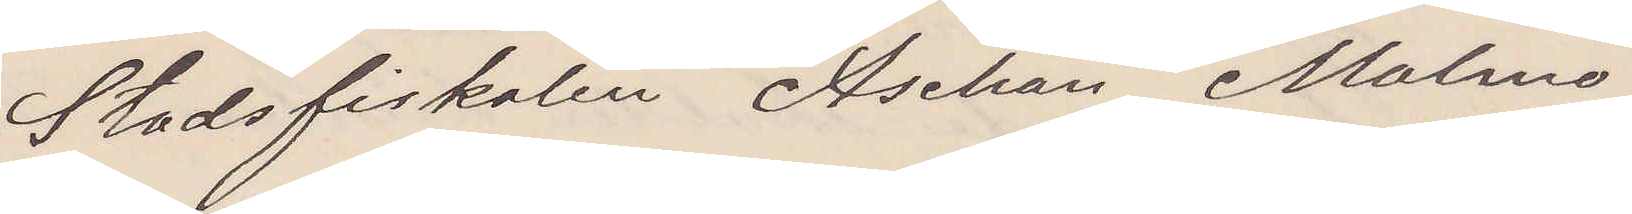Stadsfiskalen Aschan Malmö
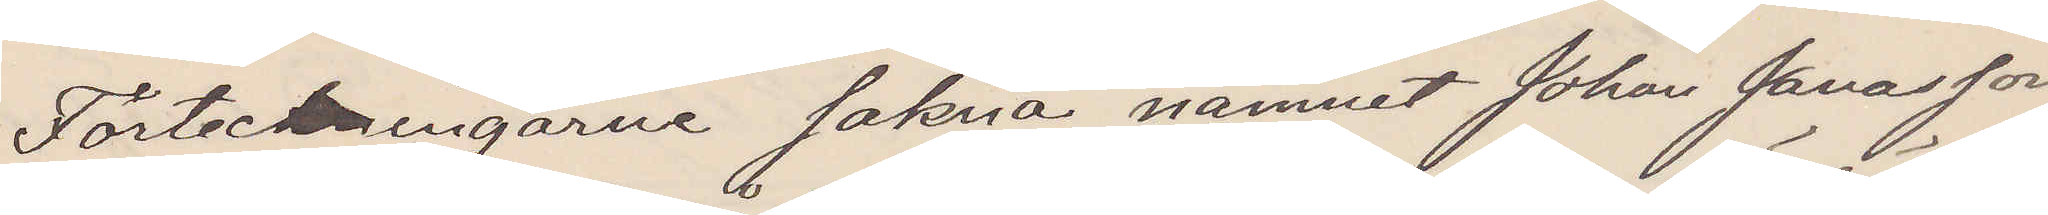Förteckningarne sakna namnet Johan Jonasson
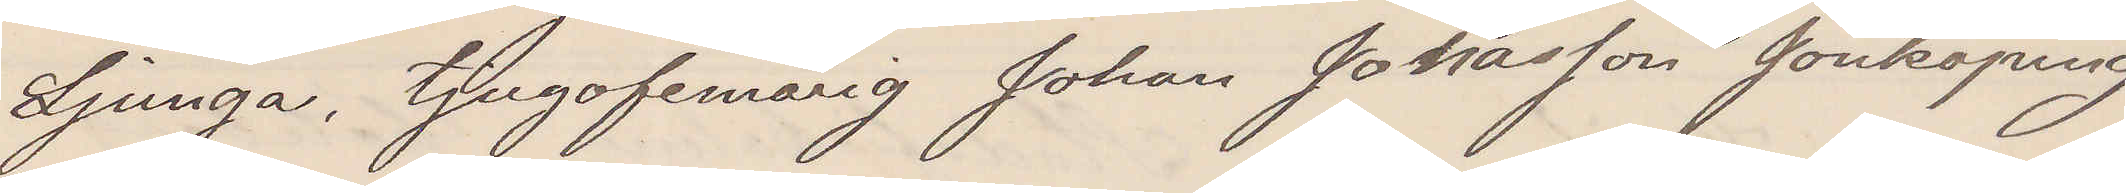Ljunga, tjugofemårig Johan Jonasson Jönköping
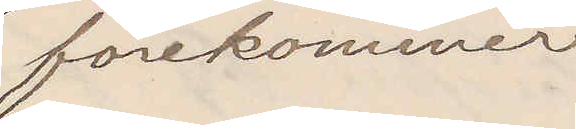förekommer
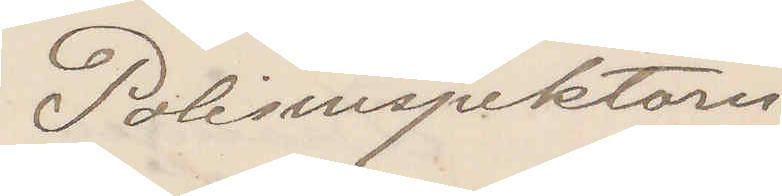Polisinspektorn
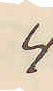4
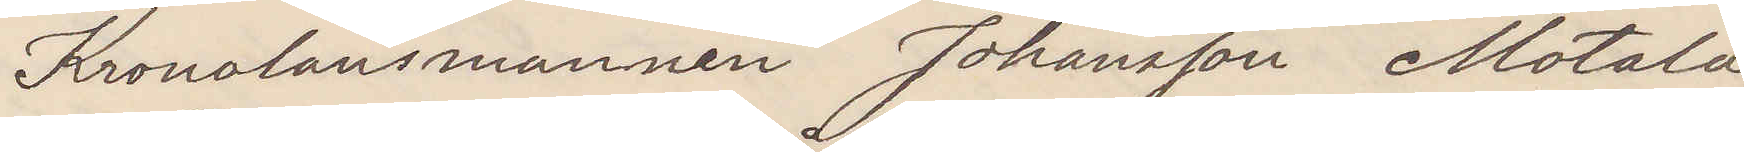Kronolänsmannen Johansson Motala
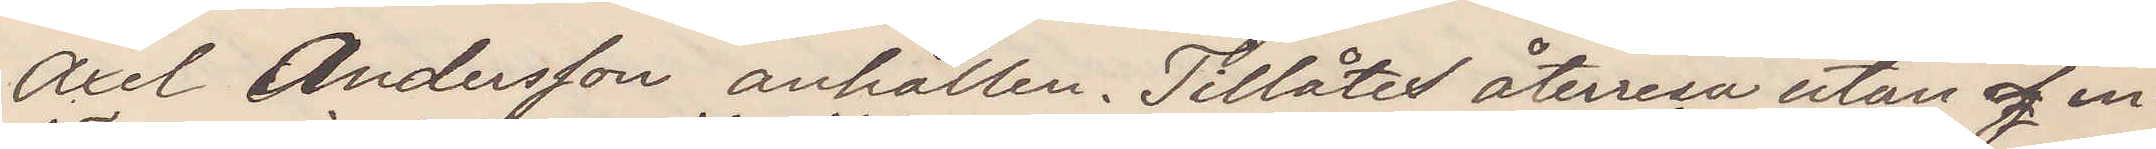Axel Andersson anhållen. Tillåtes återresa utan af in¬
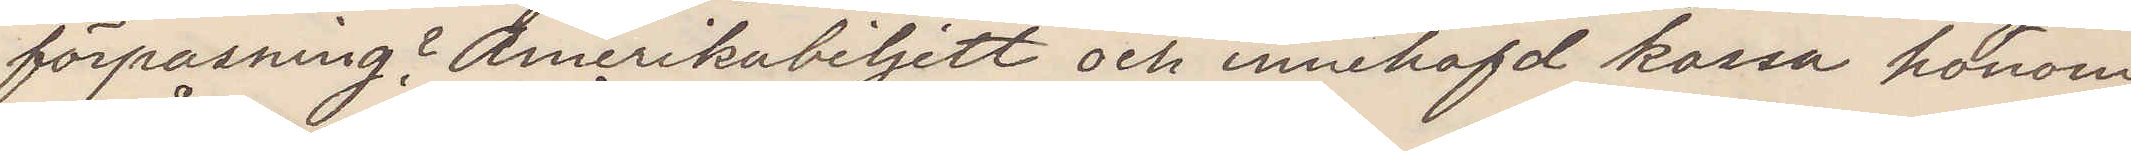förpassning? Amerikabiljett och innehafd kassa honom
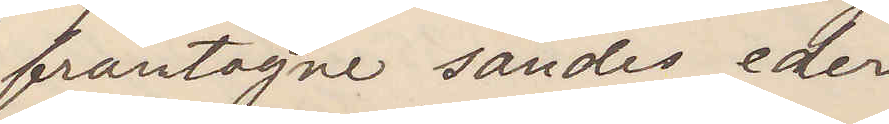fråntagne sändes eder
